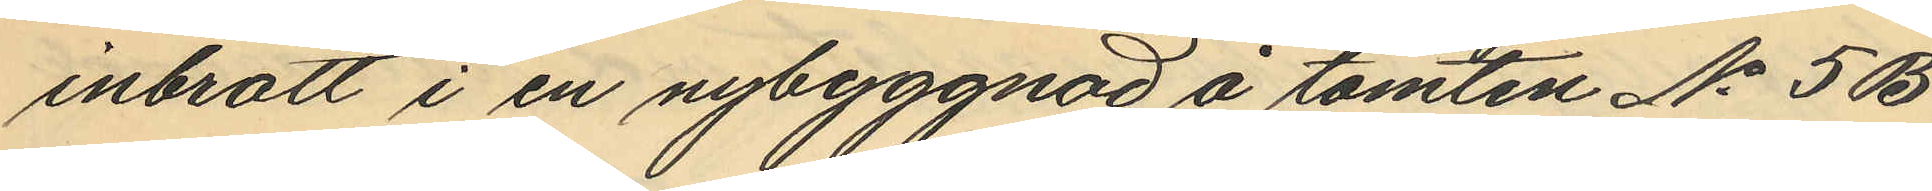inbrott i en nybyggnad å tomten No 5B
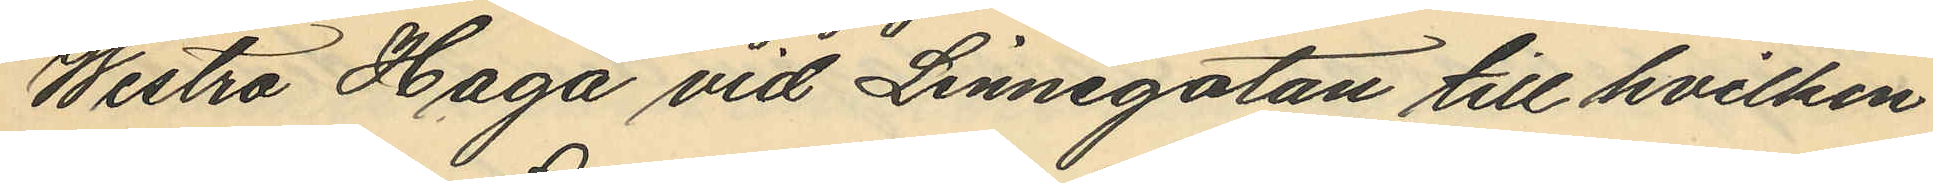Westra Haga vid Linnegatan till hvilken
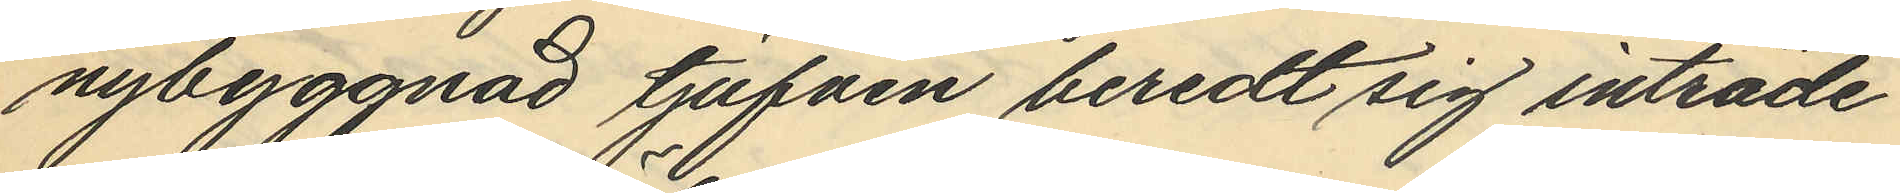nybyggnad tjufven beredt sig inträde
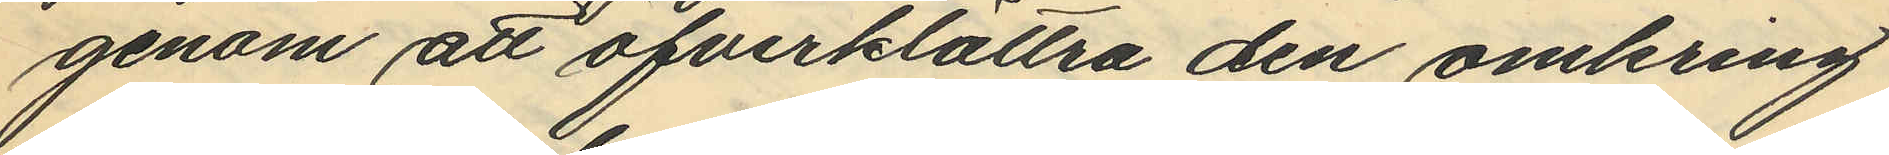genom att öfverklättra den omkring
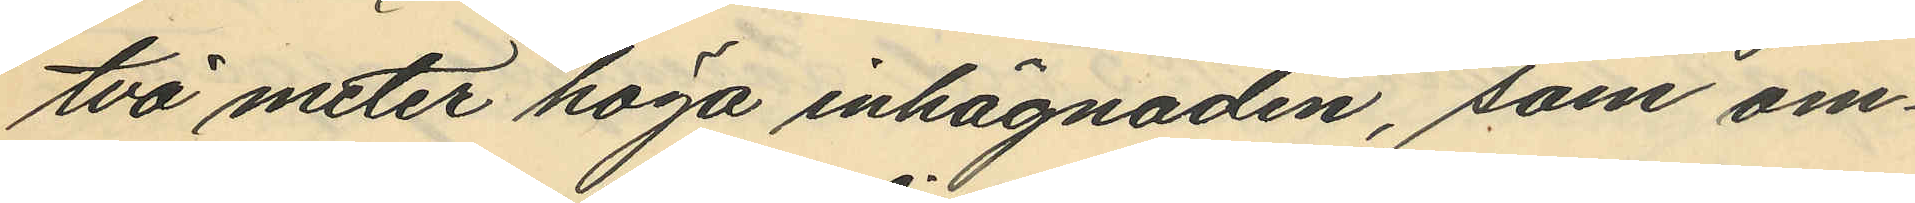två meter höga inhägnaden, som om¬
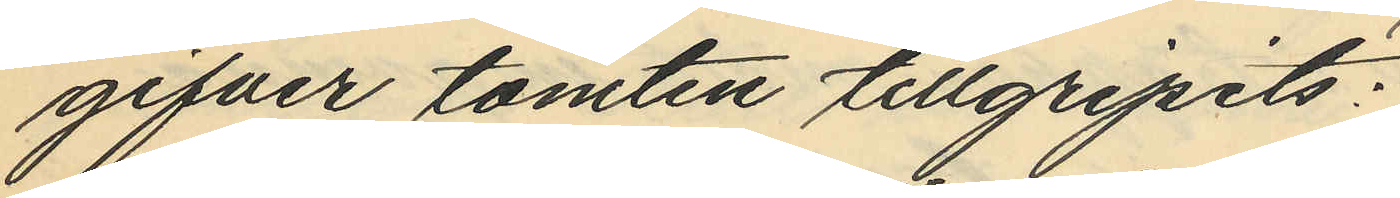gifver tomten tillgripits;
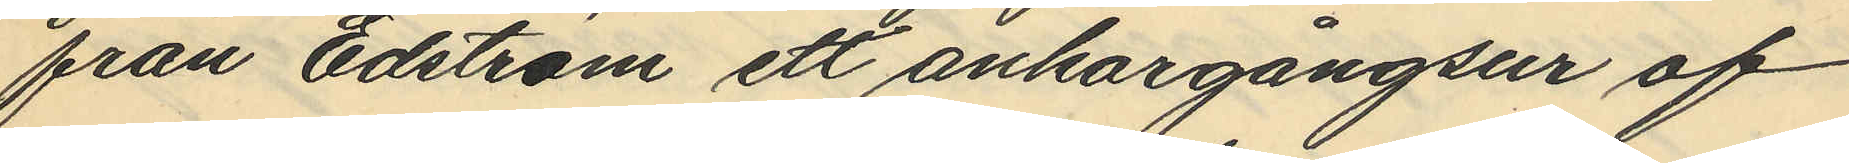från Edström ett ankargångsur af
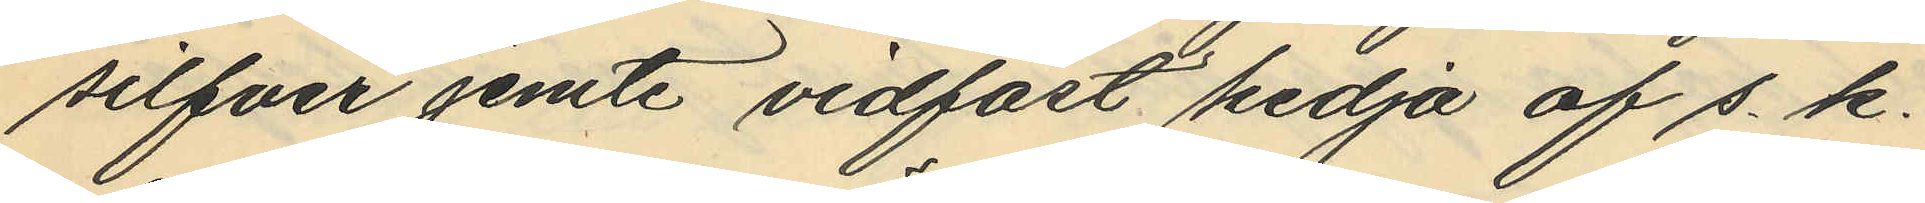silfver jemte vidfäst kedja af s. k.
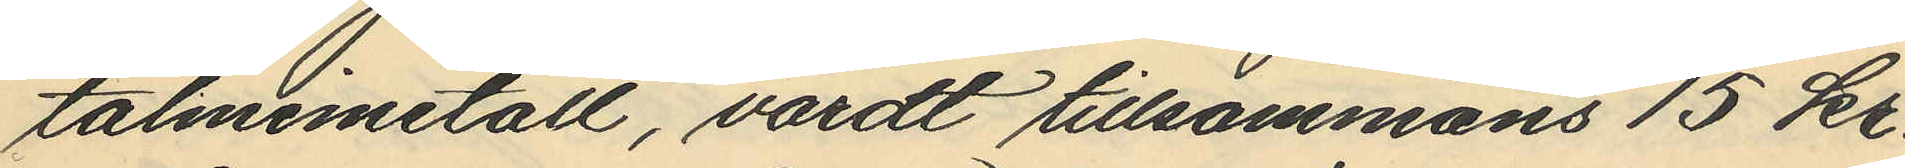talmimetall, värdt tillsammans 15 kr.
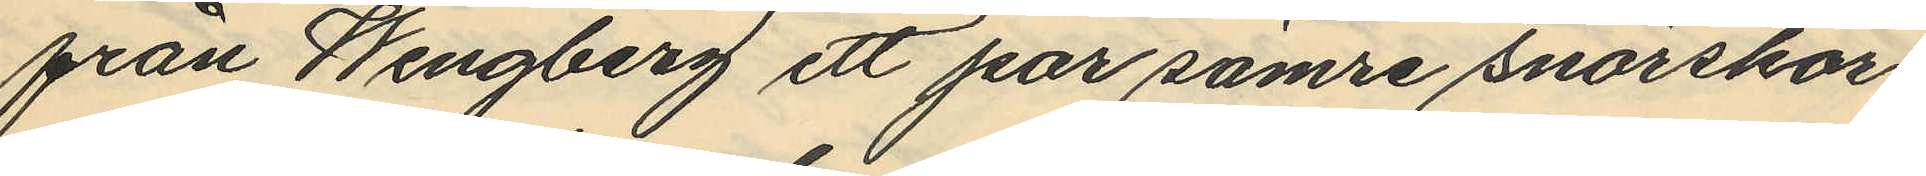från Wengberg ett par sämre snörskor,
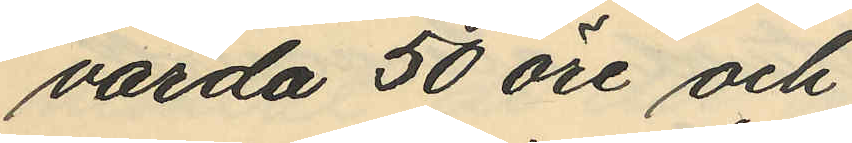värda 50 öre och
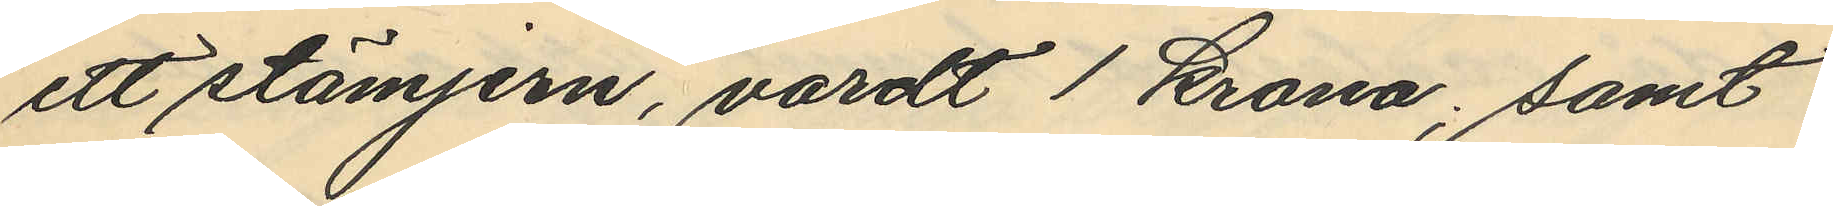ett stämjern, värdt 1 krona; samt
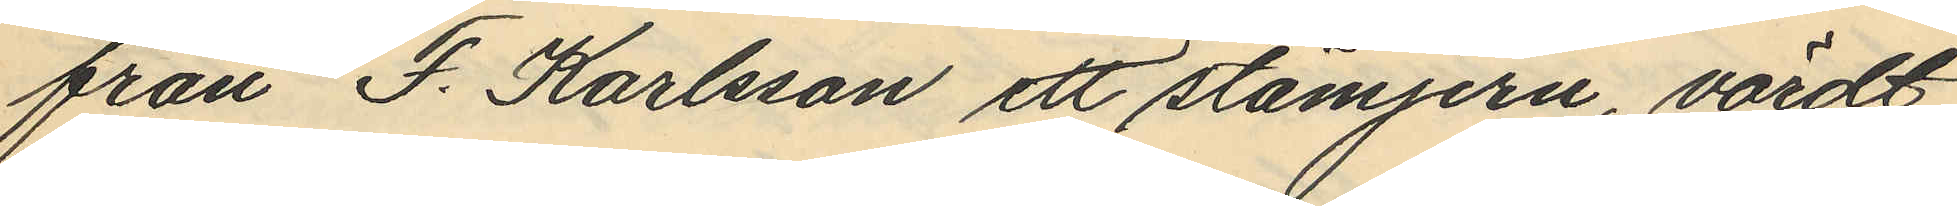från J. Karlsson ett stämjern, värdt
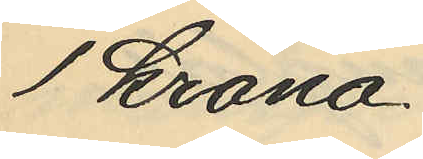1 Krona.
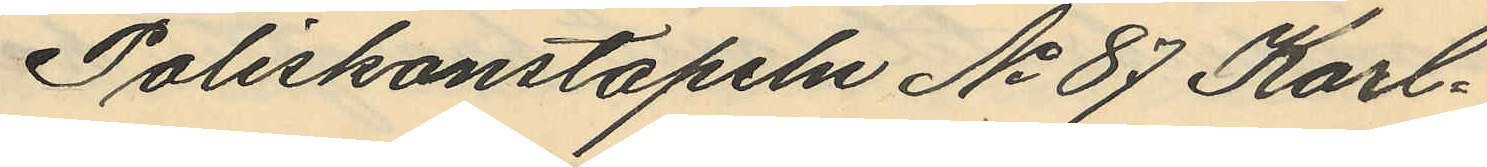Poliskonstapeln No 87 Karl¬
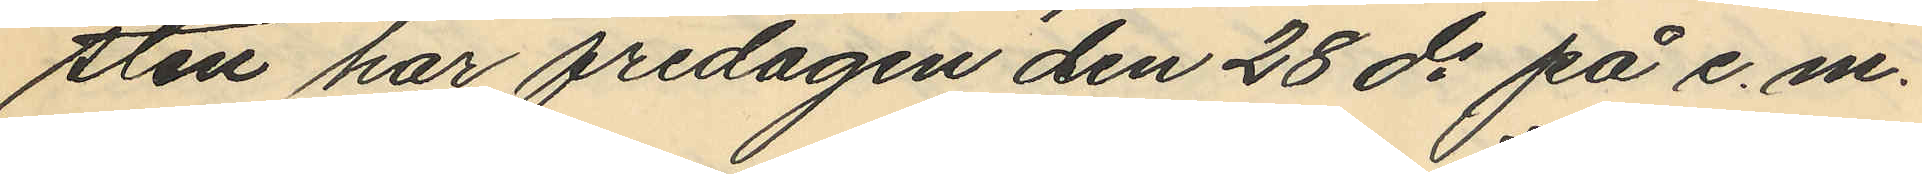sten har fredagen den 28 ds på e. m.
